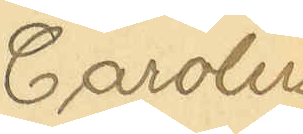Carolus
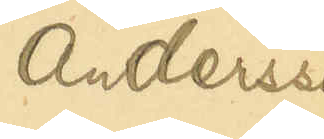Andersson
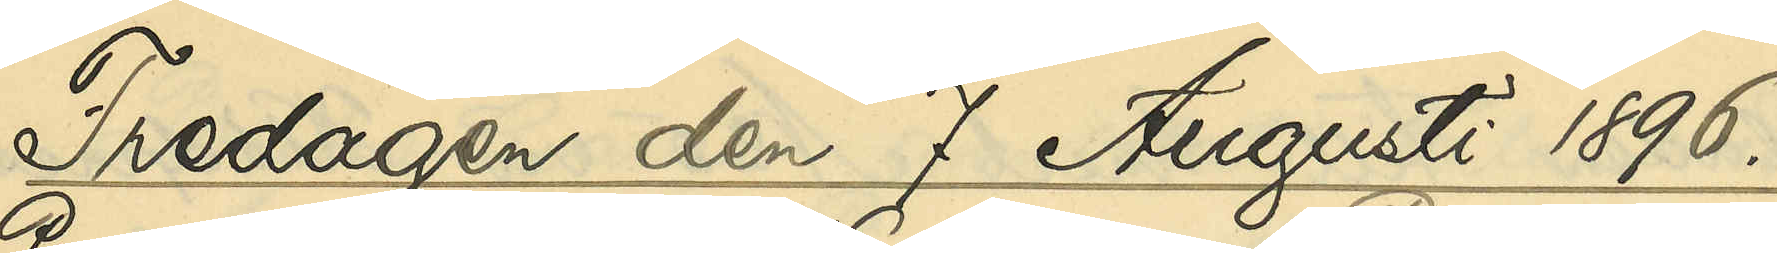Fredagen den 7 Augusti 1896
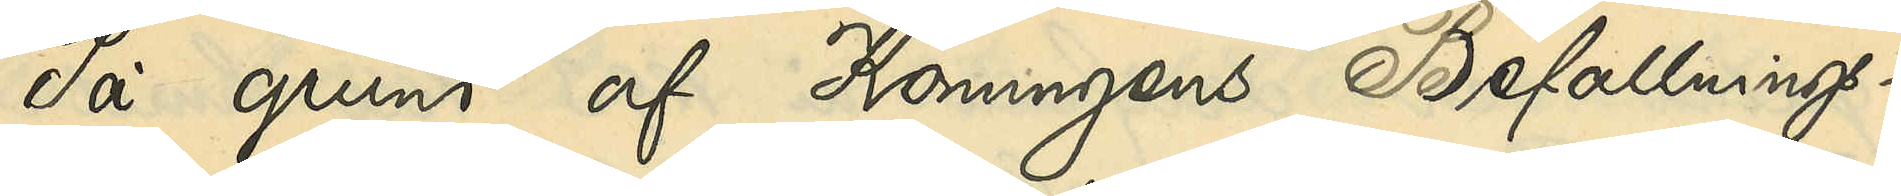På grund af Konungens Befallnings¬
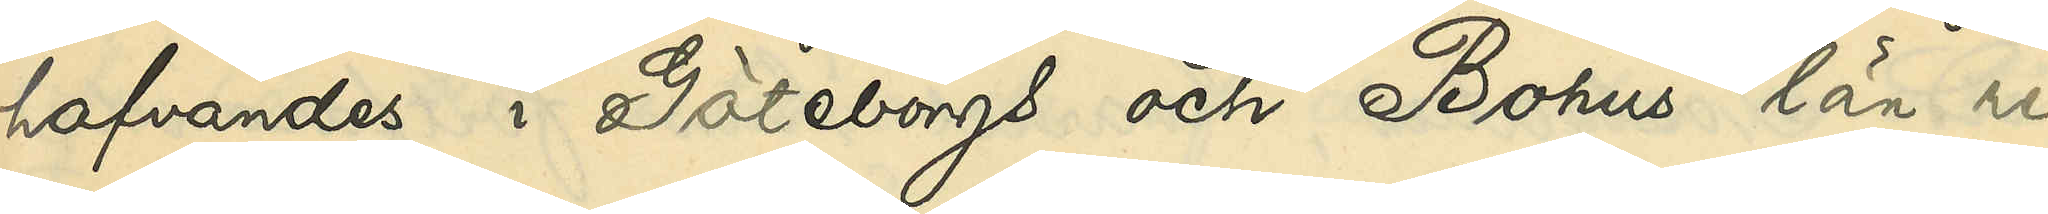hafvandes i Göteborgs och Bohus län re¬
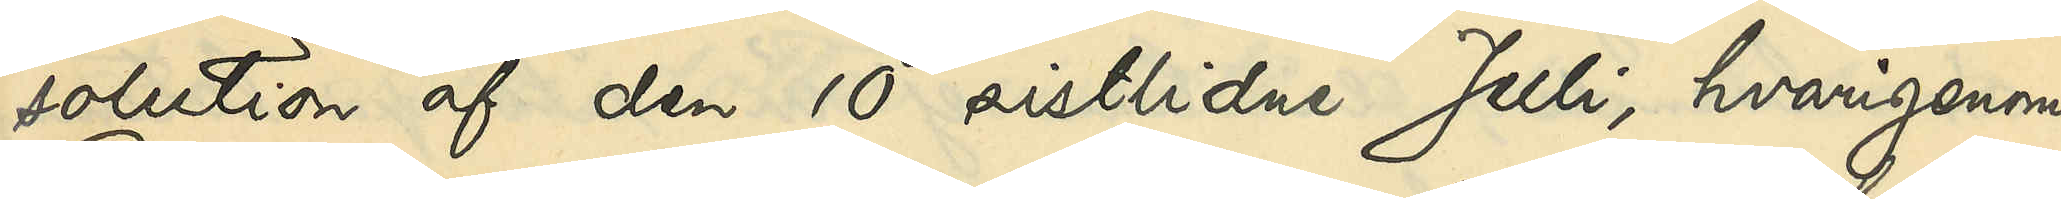solution af den 10 sistlidne Juli, hvarigenom
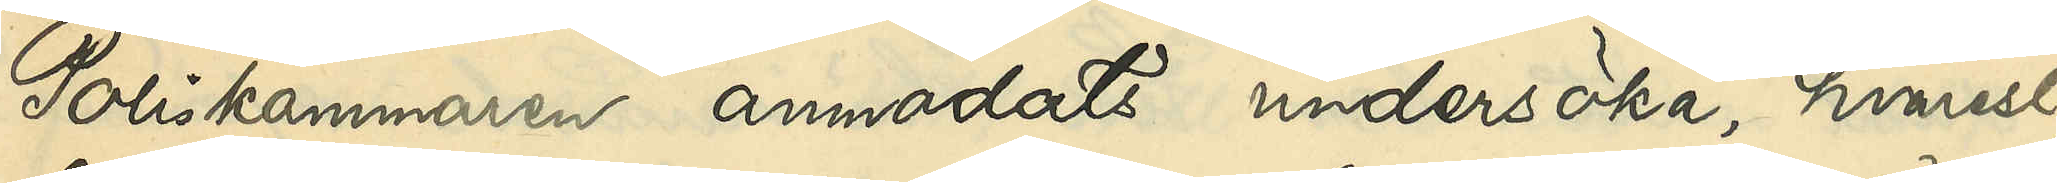Poliskammaren anmodats undersöka, hvarest,
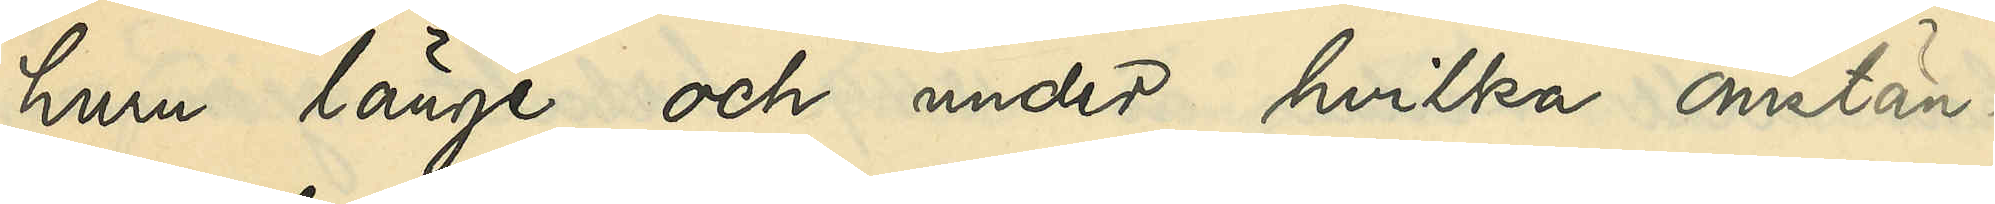huru länge och under hvilka omstän¬
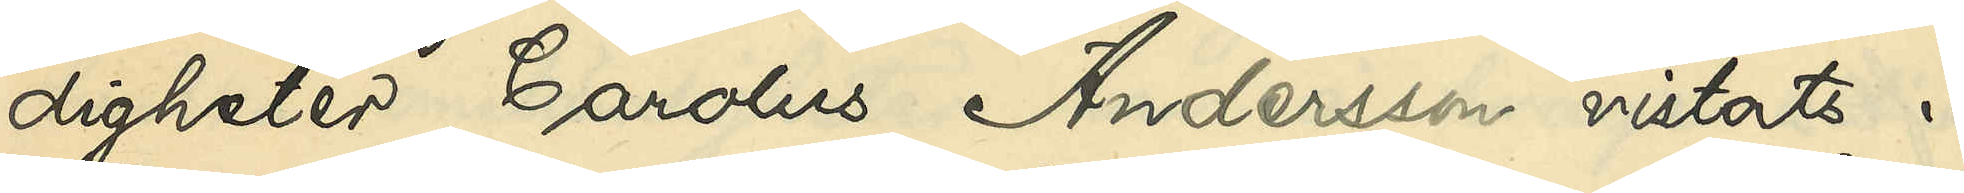digheter Carolus Andersson vistats i
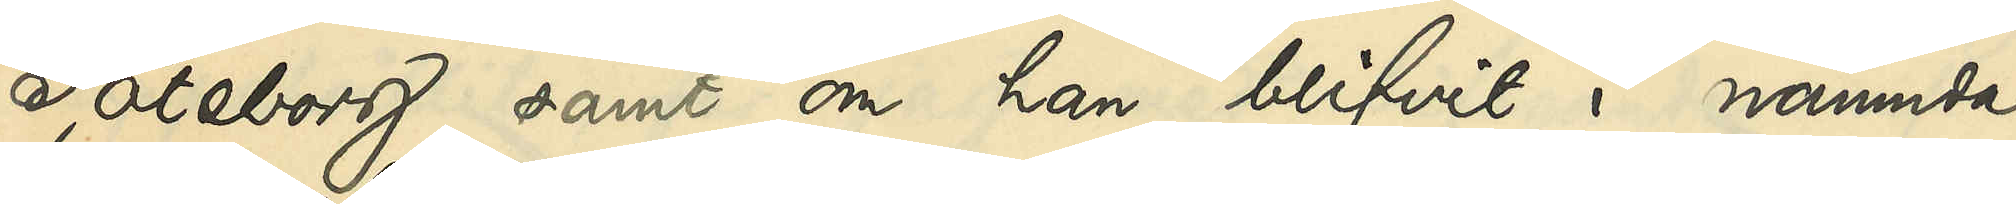Göteborg samt om han blifvit i nämnda
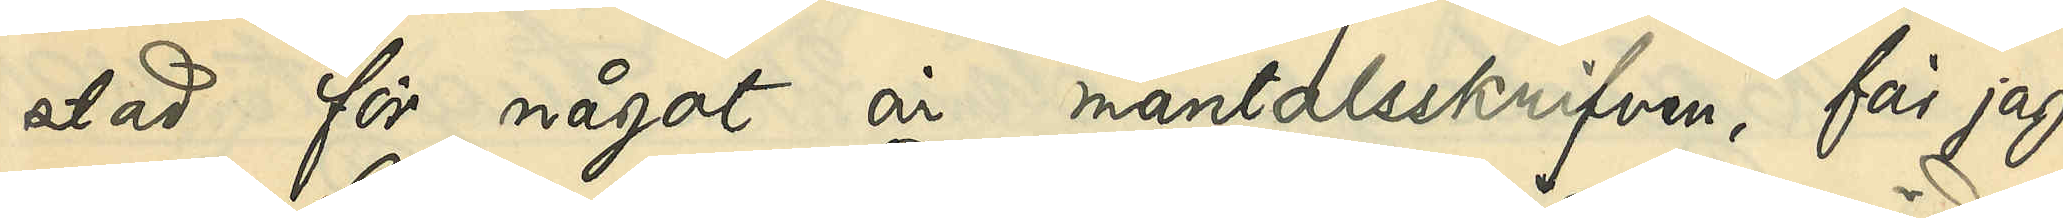stad för något år mantalsskrifven, får jag,
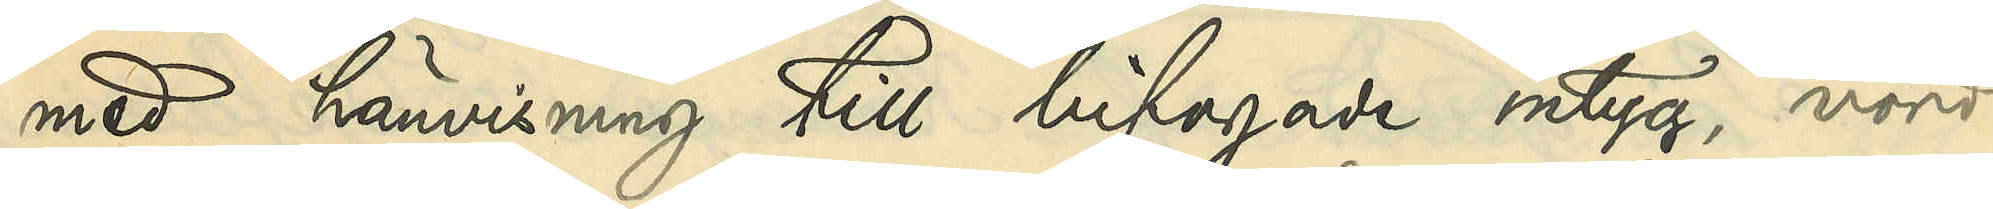med hänvisning till bifogade intyg, vörd¬
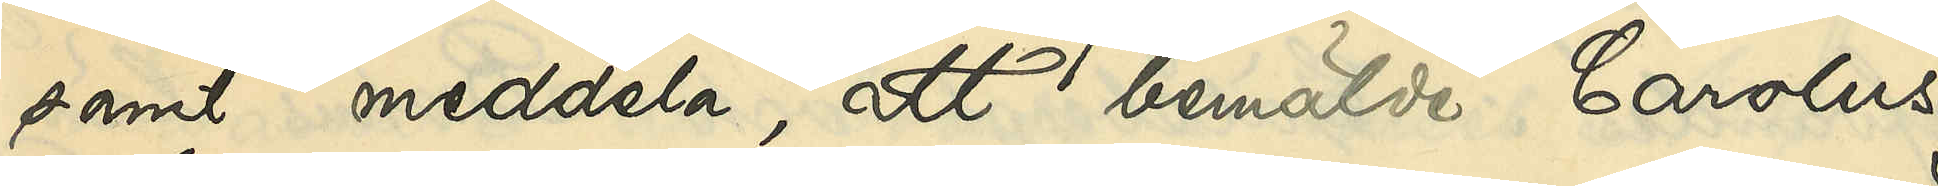samt meddela, att bemälda Carolus
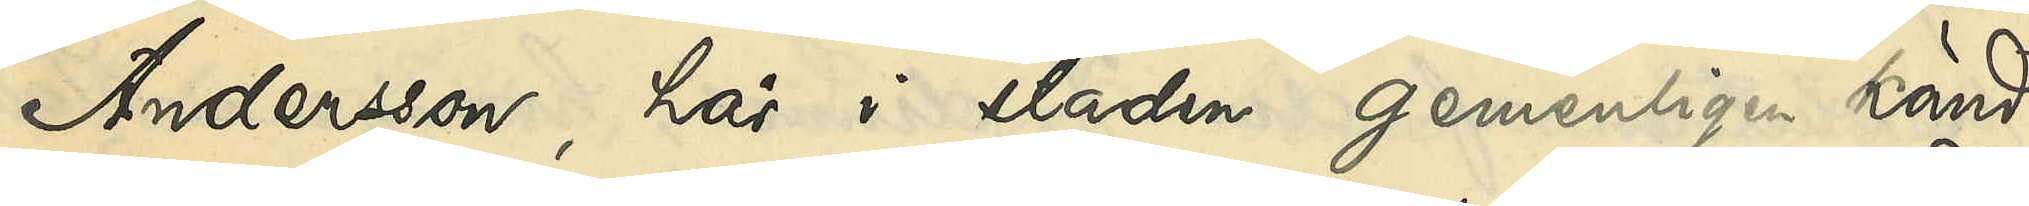Andersson, här i staden gemenligen känd
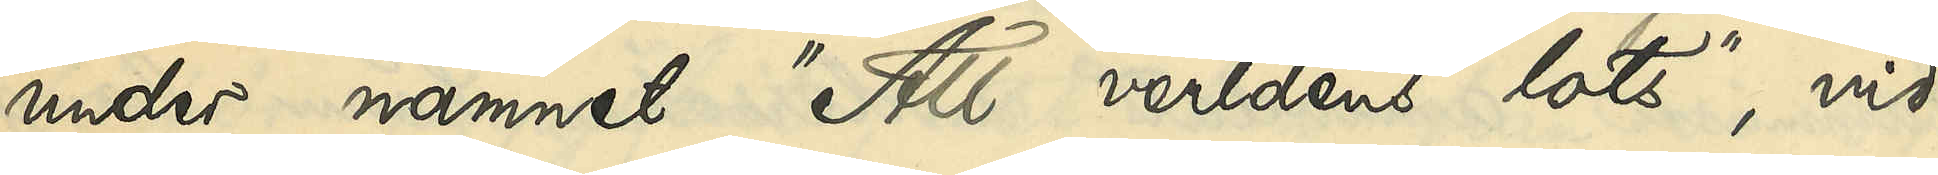under namnet "All verldens lots", vid
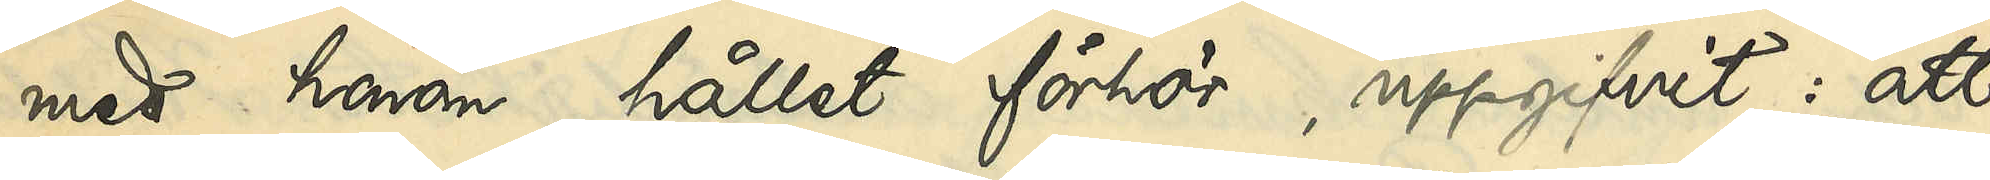med honom hållet förhör, uppgifvit: att
